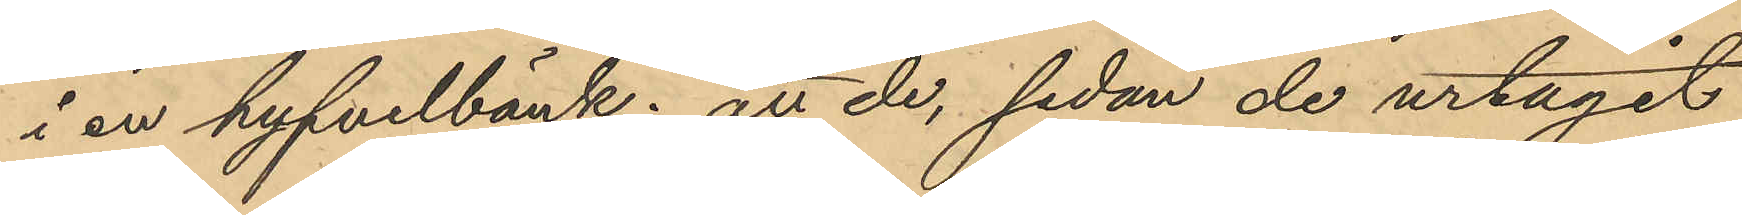i en hyfvelbänk; att de, sedan de urtagit
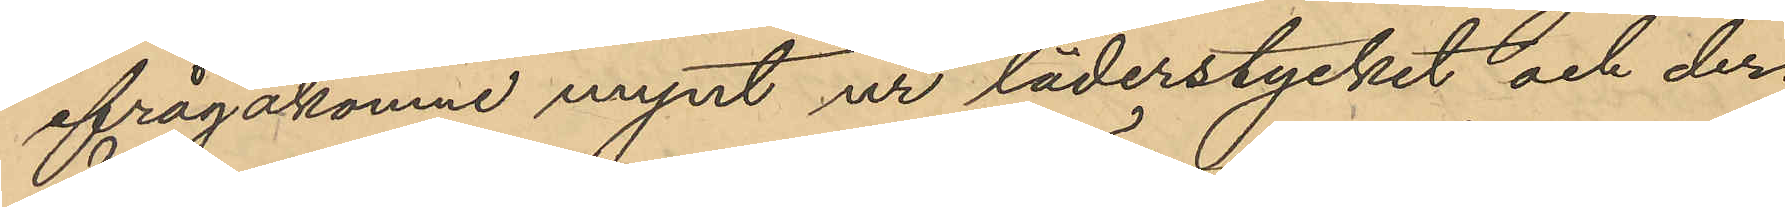ifrågakomne mynt ur läderstycket och der¬
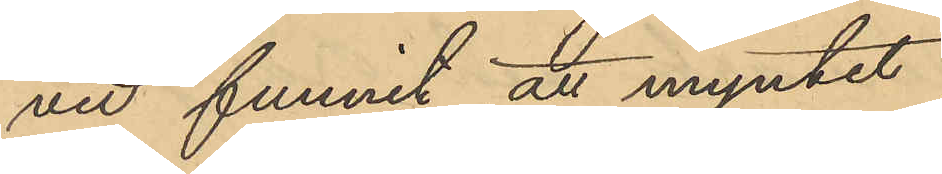vid funnit att myntet
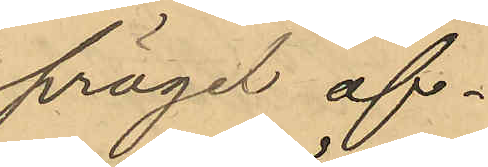prägel af¬
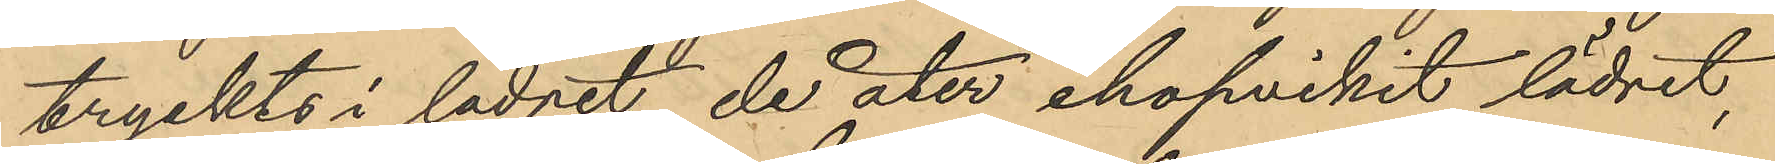tryckts i lädret, de åter ihopvikit lädret,
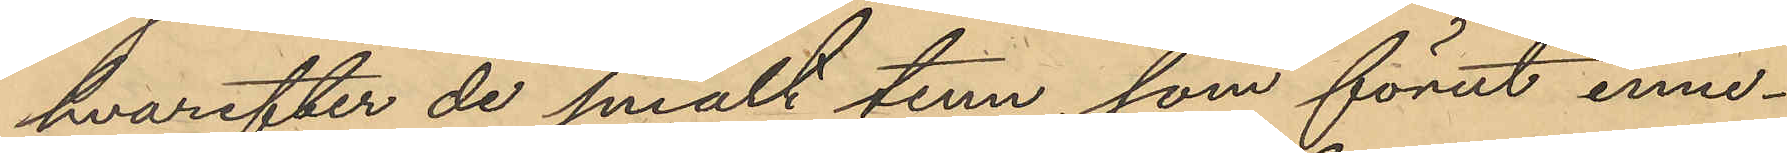hvarefter de smält tenn, som förut inne¬
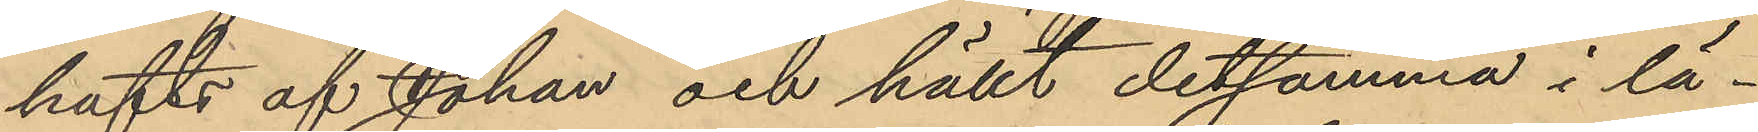hafts af Johan och hällt detsamma i lä¬
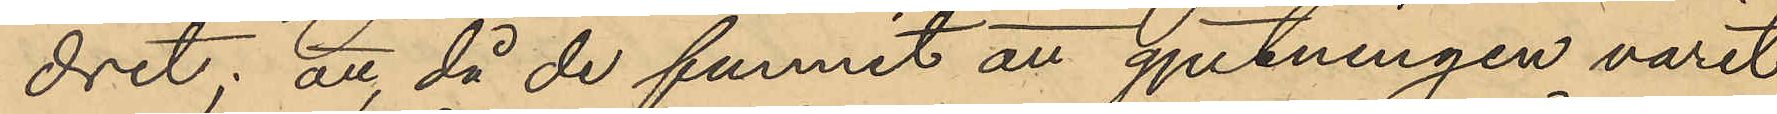dret: att, då de funnit att gjutningen varit
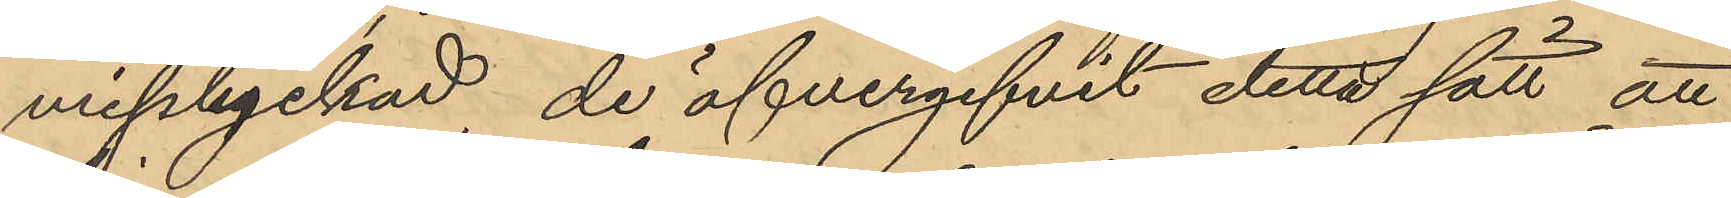misslyckad, de öfvergifvit detta sätt att
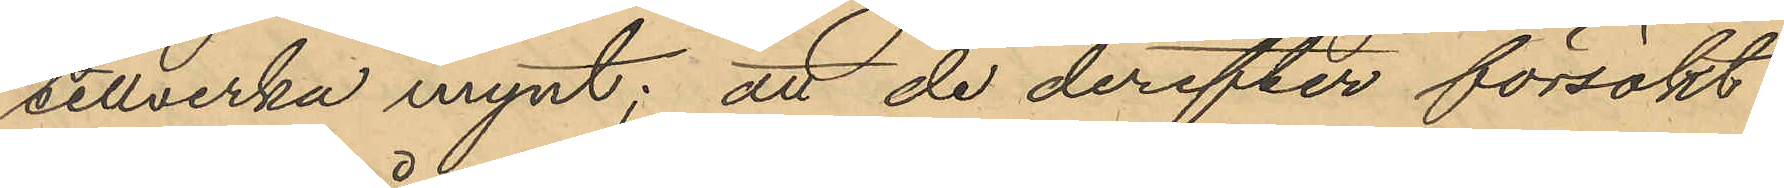tillverka mynt; att de derefter försökt
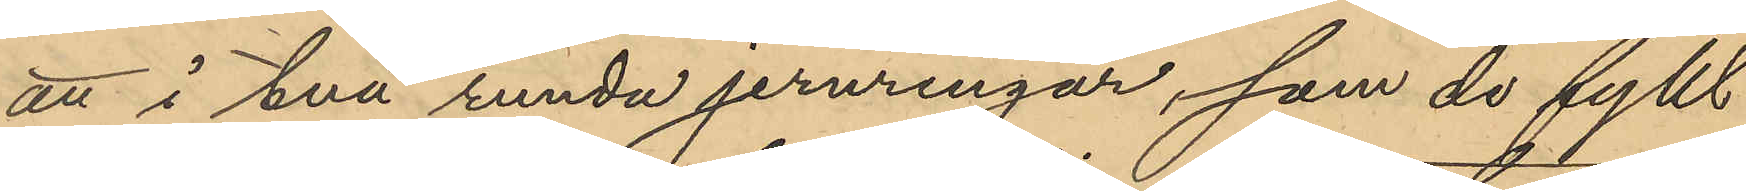att i två runda jernringar, som de fyllt
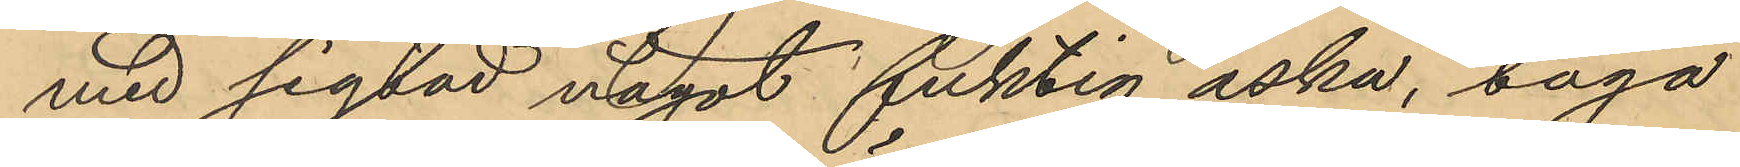med sigtad något fuktig aska, taga
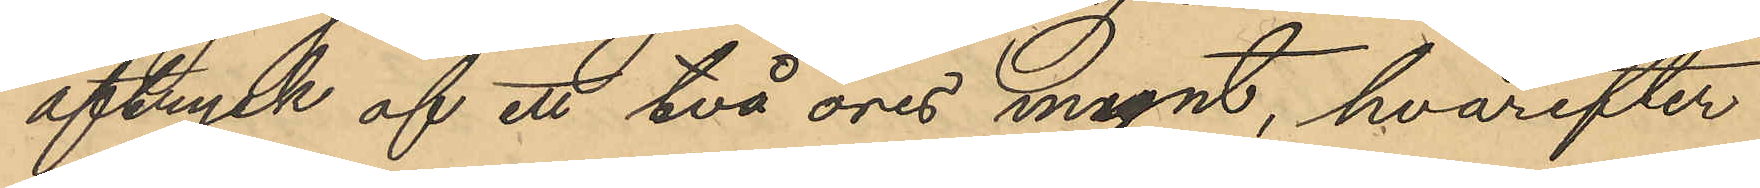aftryck af ett två öres mynt, hvarefter
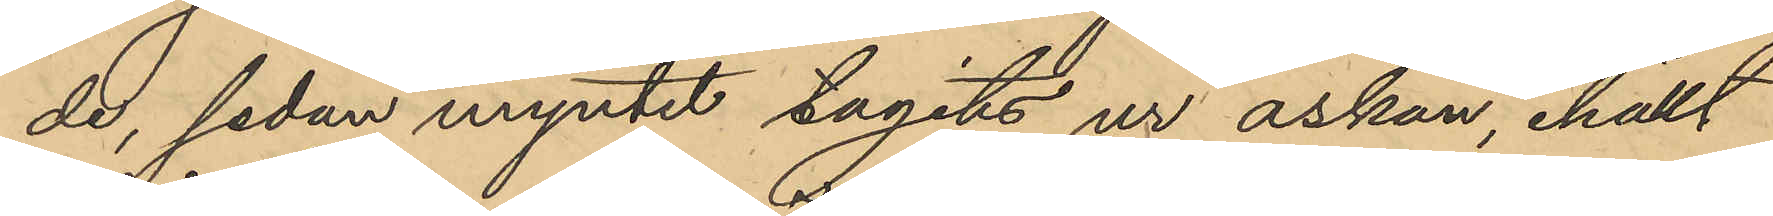de, sedan myntet tagits ur askan, ihällt
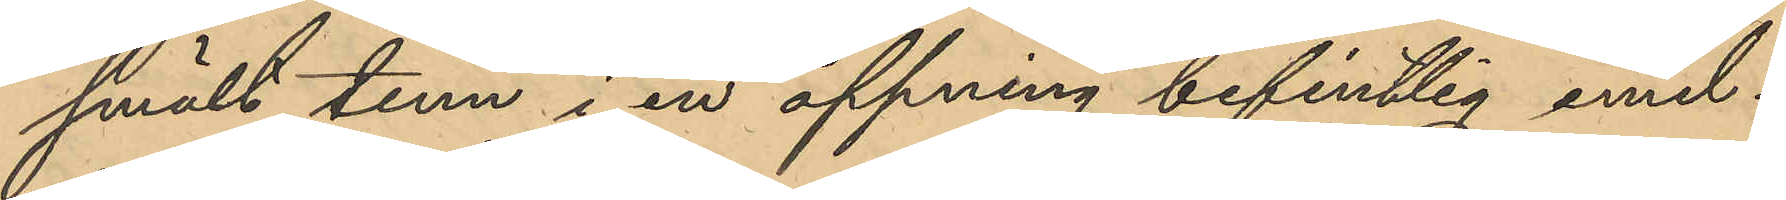smält tenn i en öppning befintlig emel¬
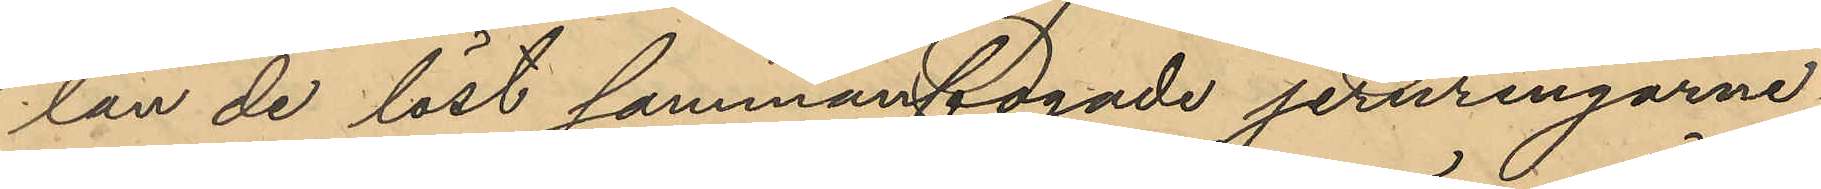lan de löst sammanfogade jernringarne,
